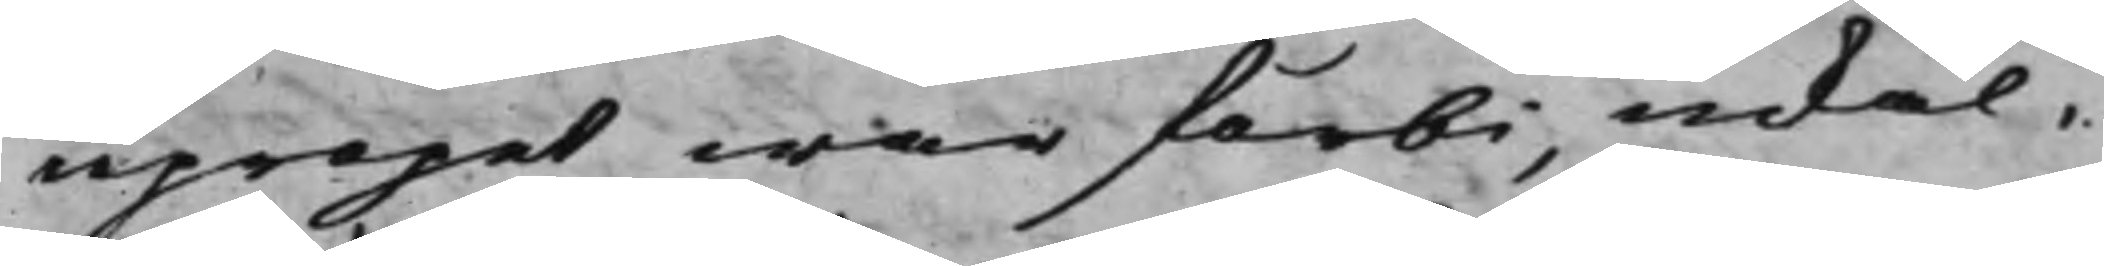upropet war förbi, inkal¬
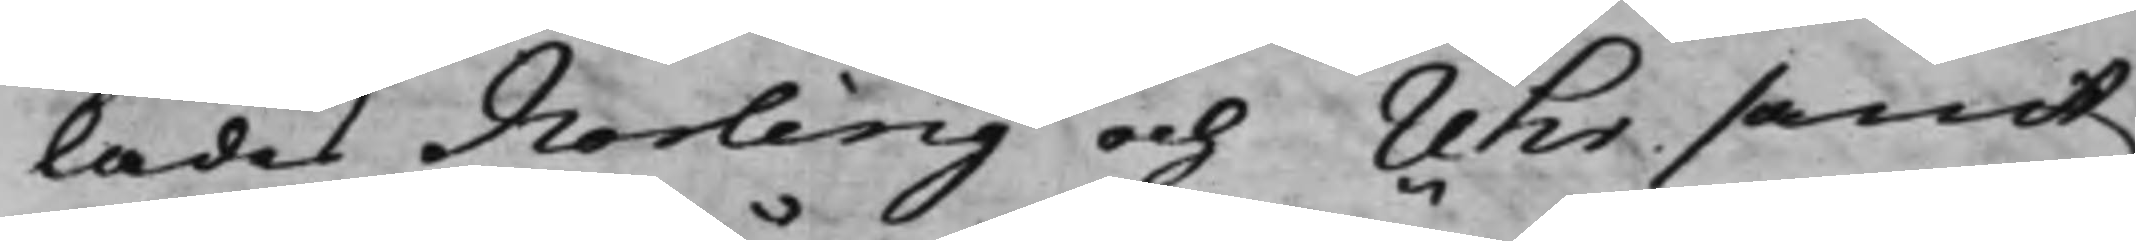lades Norling och Uhr samt
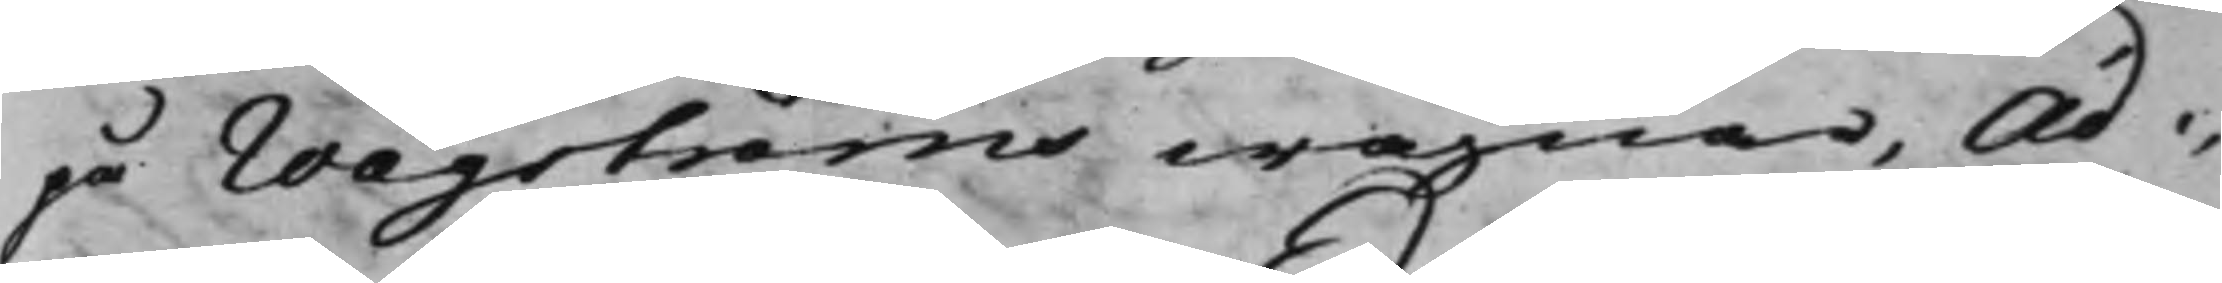på Wågströms wägnar, Ad¬
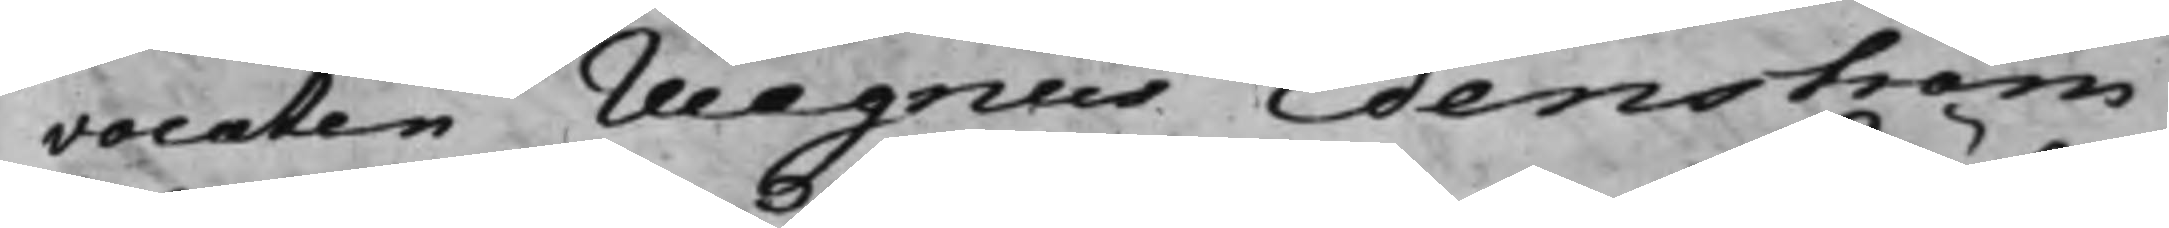vocaten Magnus Edenström,
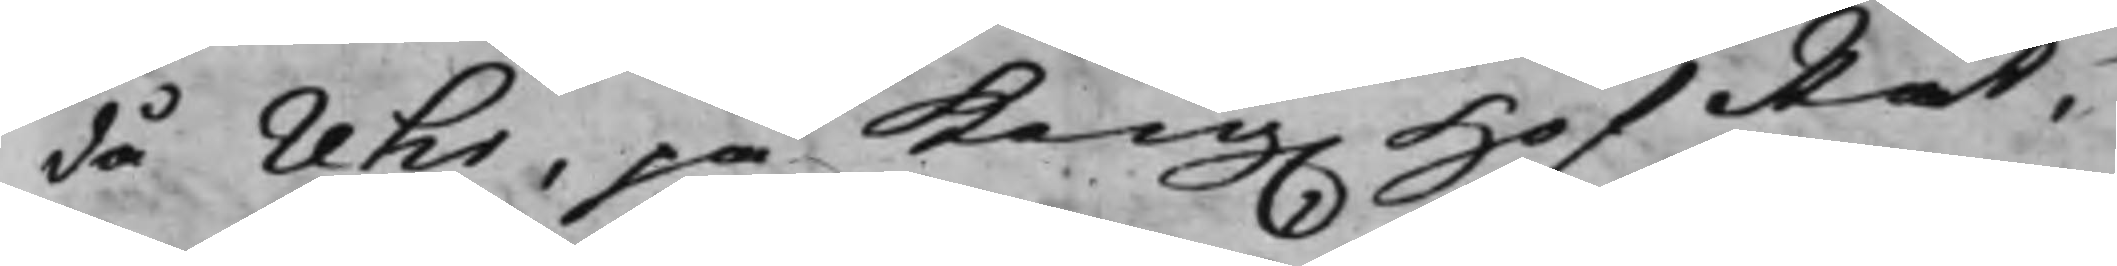då Uhr, på Kong. HofRät¬
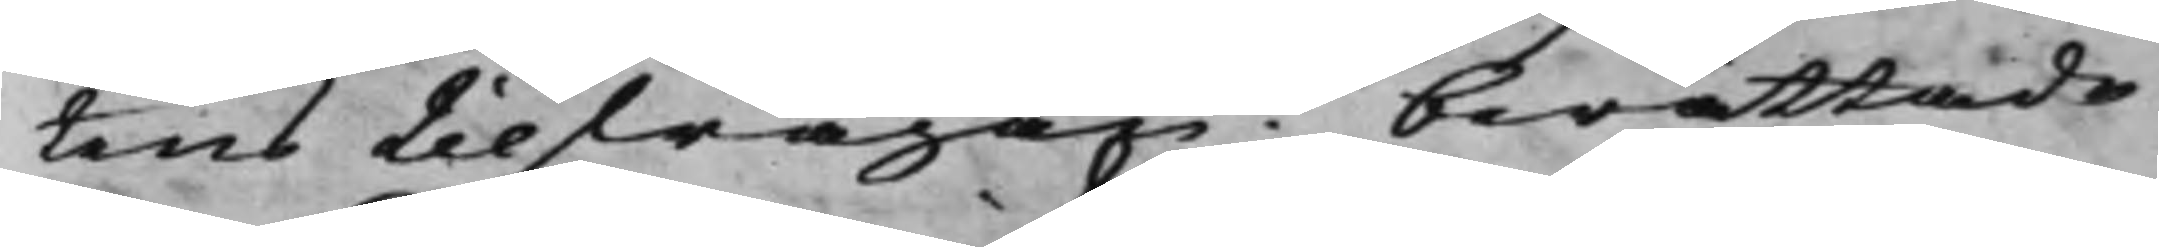tens tilfrågan? berättade
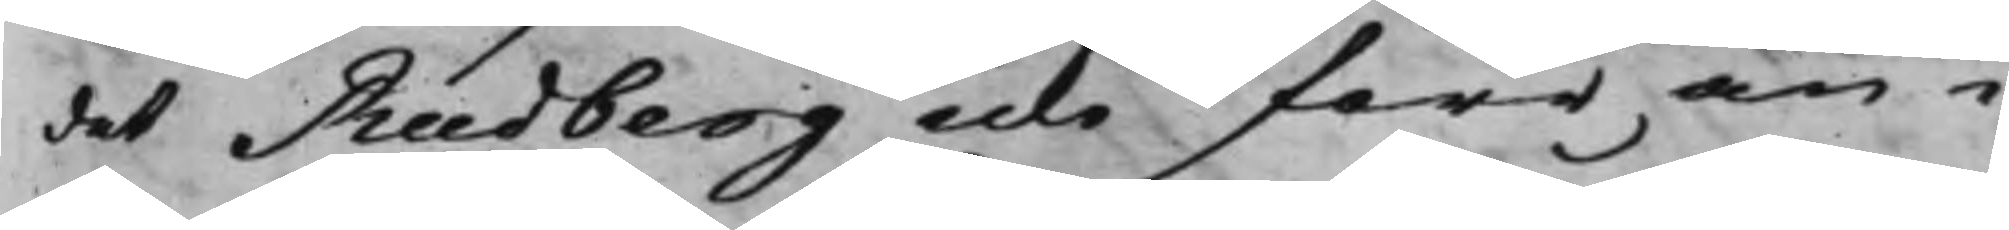det Rudberg icke förr än i
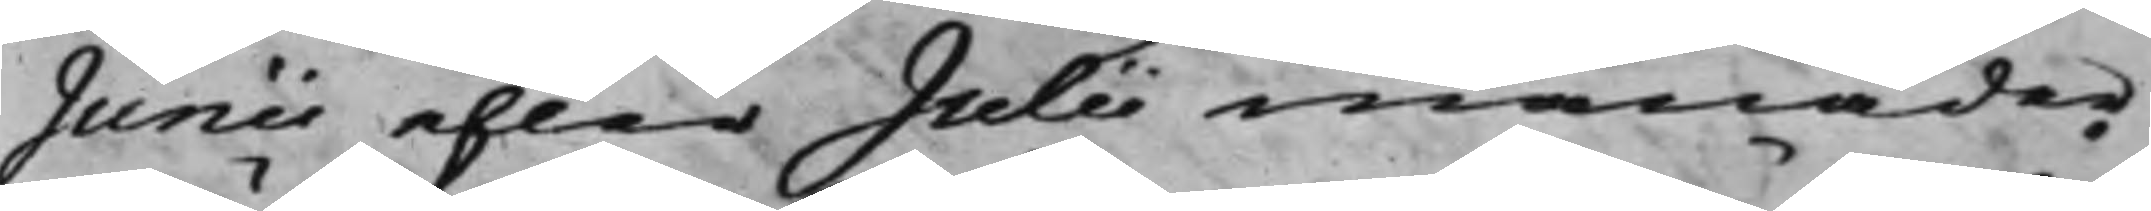Junii eller Julii månader
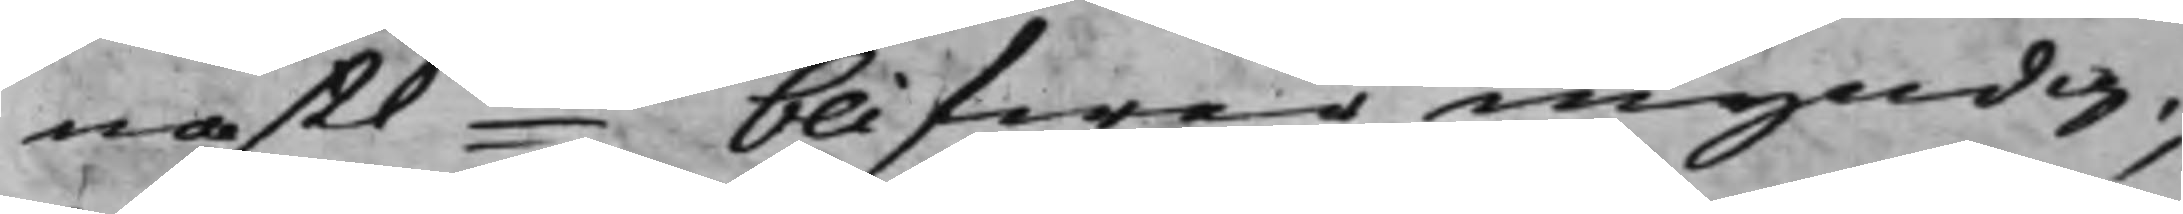nästkde blifwer myndig;
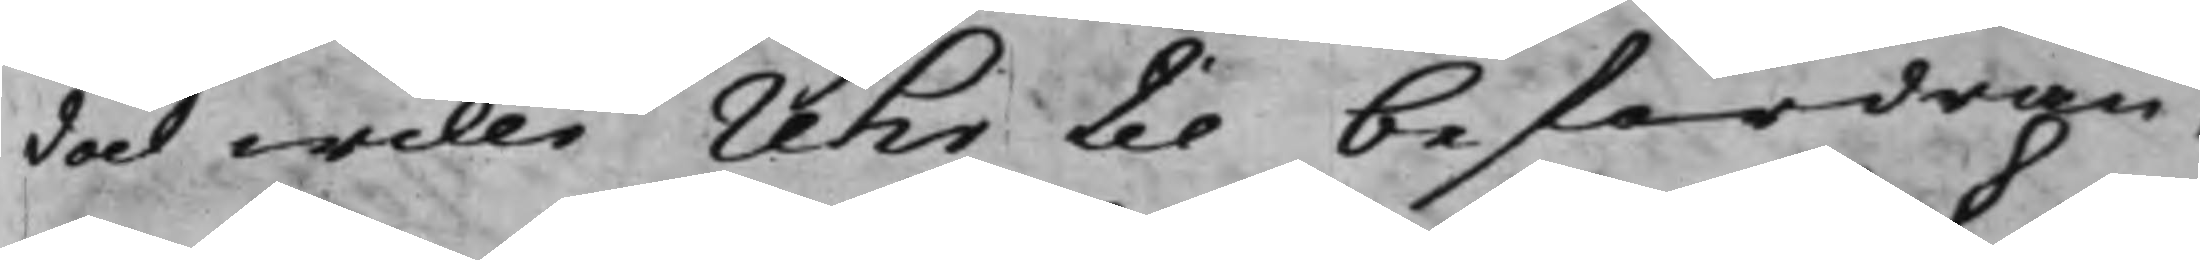dock wille Uhr til befordran¬
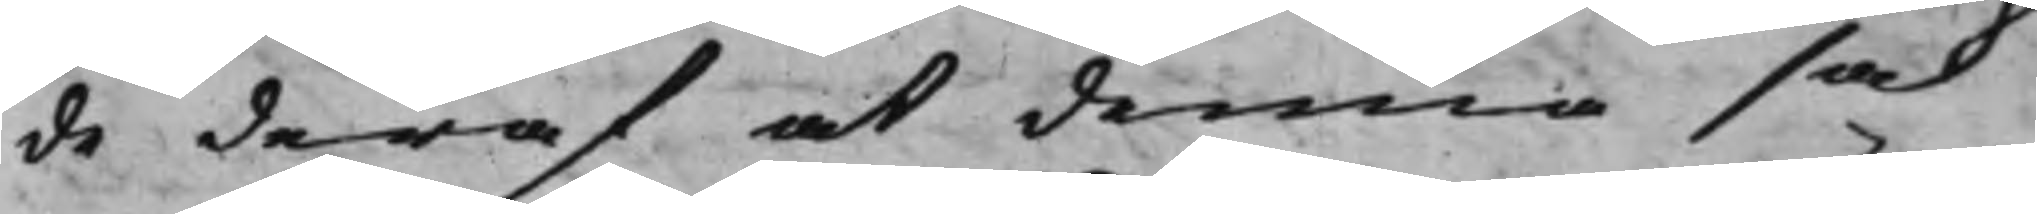de deraf at denna sak
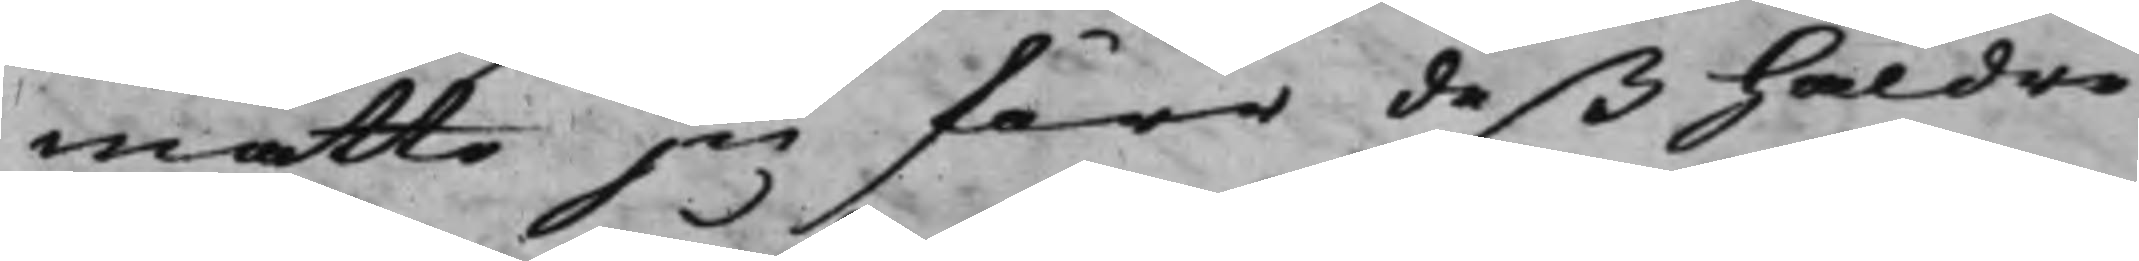måtte ju förr deß häldre
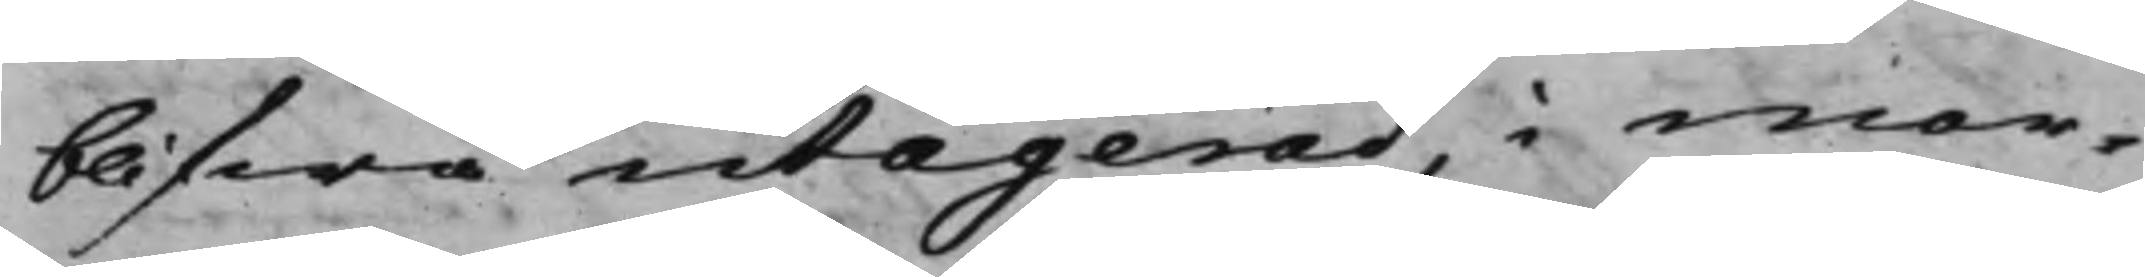blifwa utagerad, i mor¬
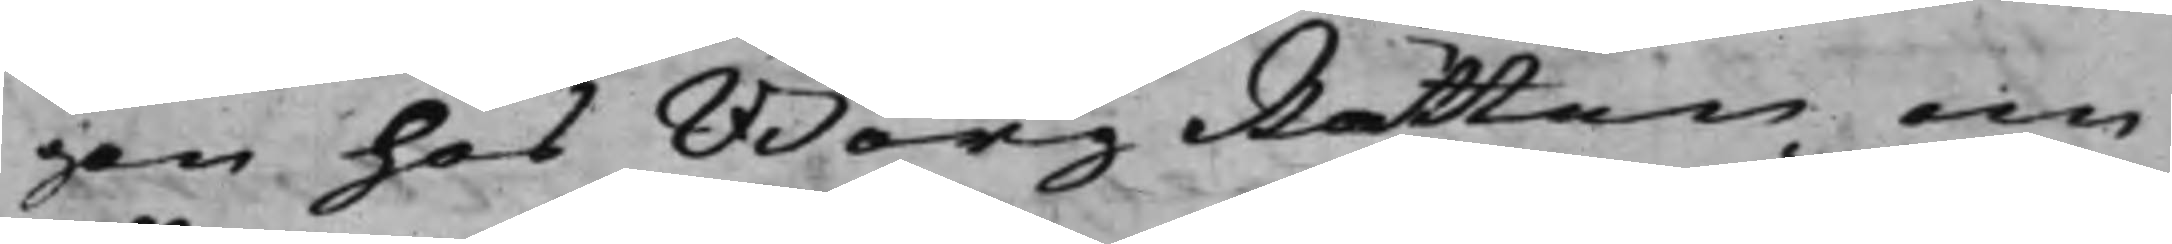gon hos BorgRätten om
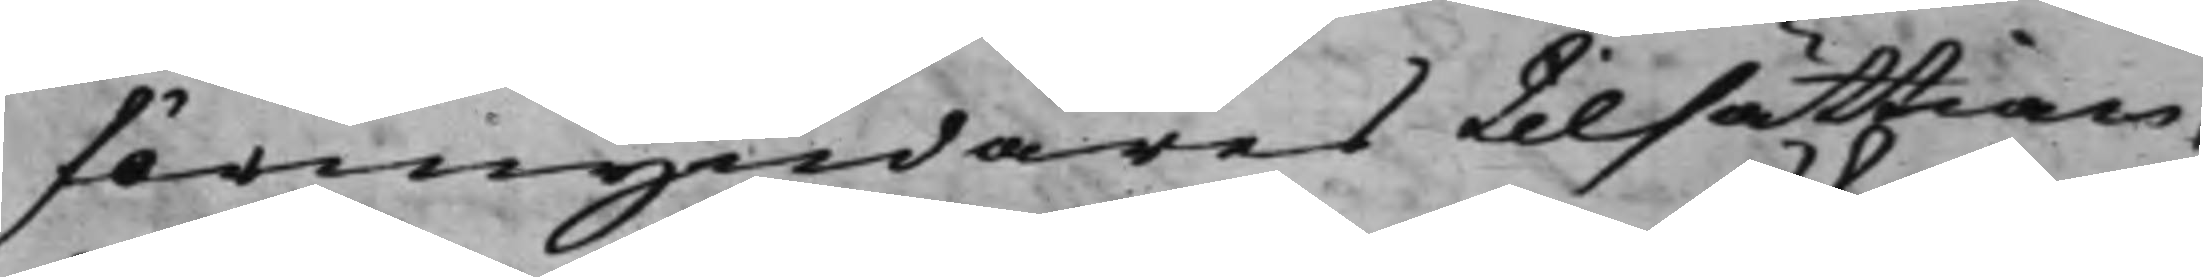förmyndares tilsättian¬
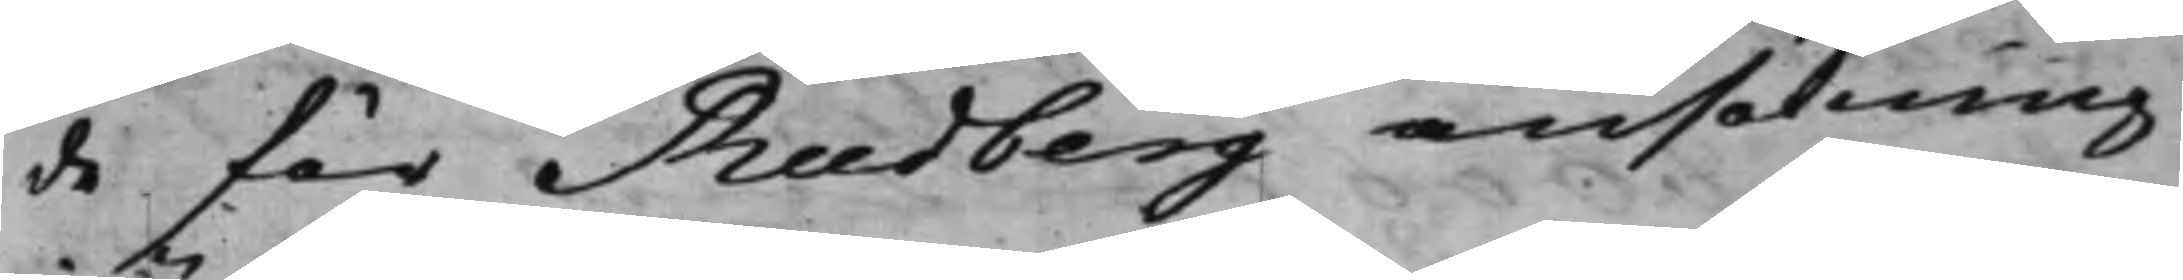de för Rudberg ansökning
